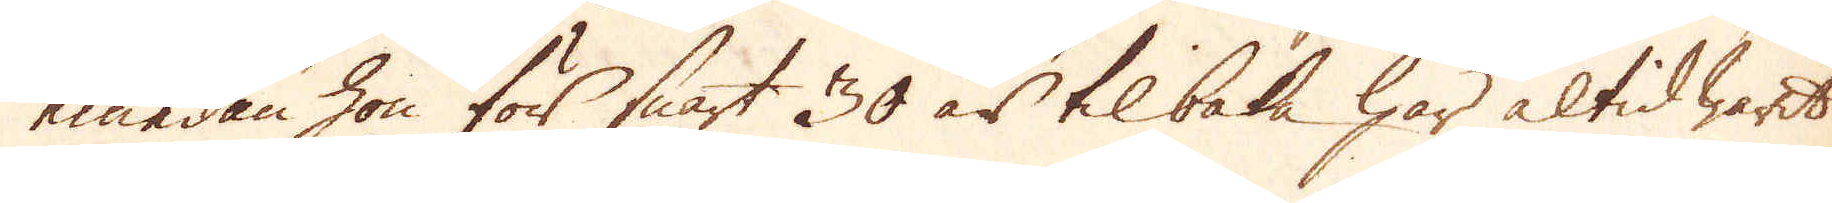emedan hon för snart 30 är tilbaka har altid warit
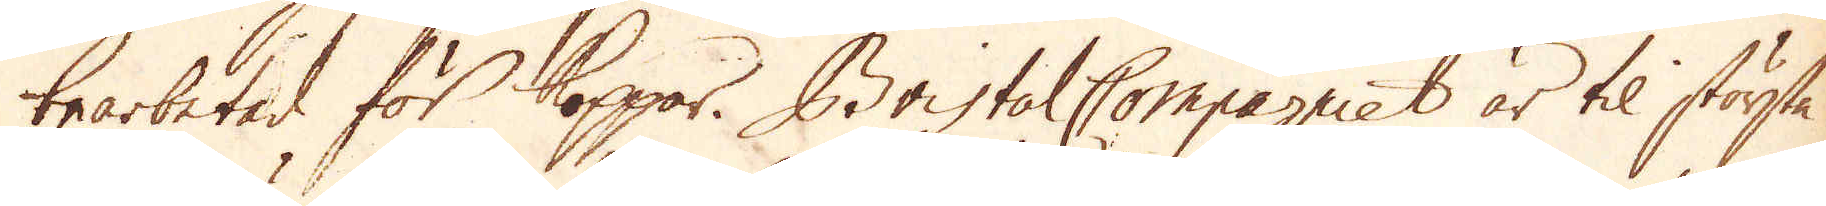bearbetad för Koppar. Bristol Compagniet är til största
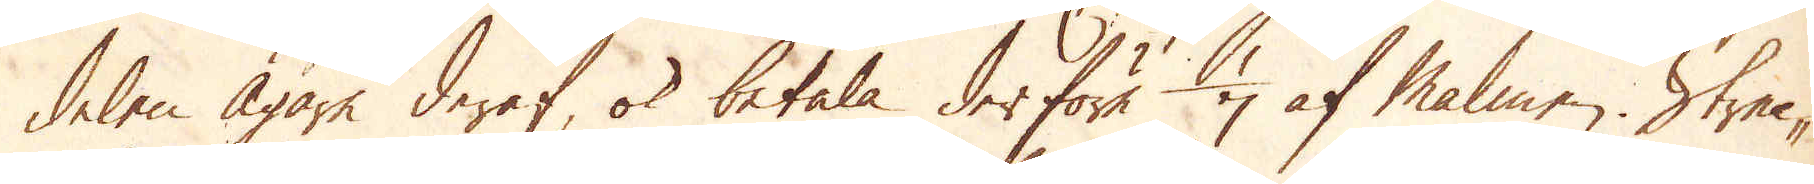delen Ägare deraf, ok betala derföre 1/7 af Malmen. Strec-
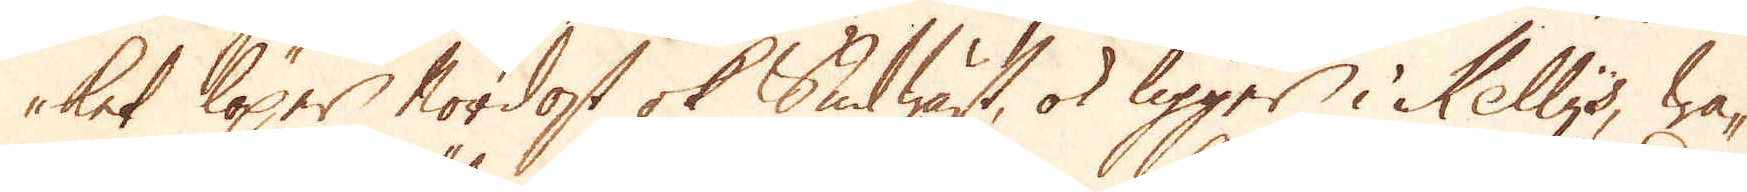ket löper Nordost ok Sudwäst, ok ligger i Kelly's, wa-
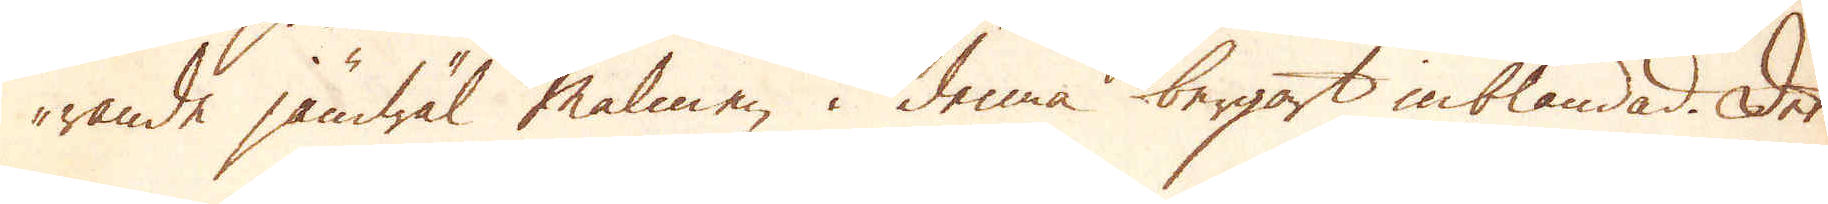rande jämwäl malmen i denna bergart inblandad. Det
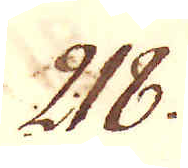218.
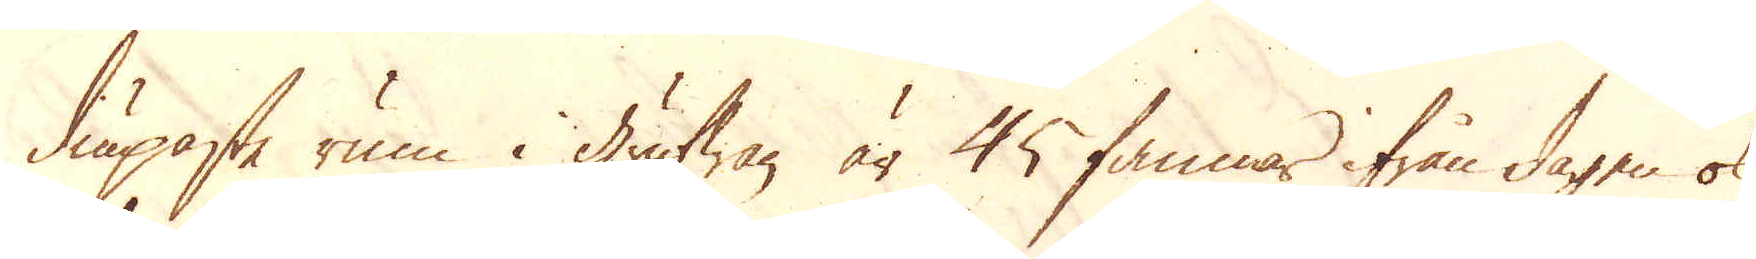diupaste rum i grufwan är 45 famnar ifrån dagen ok
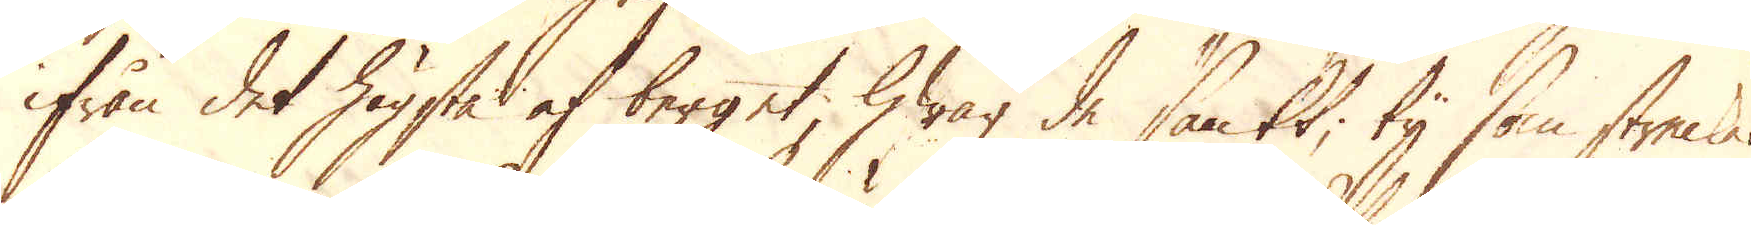ifrån det högsta af berget, hwar de sänkt, ty som strecken
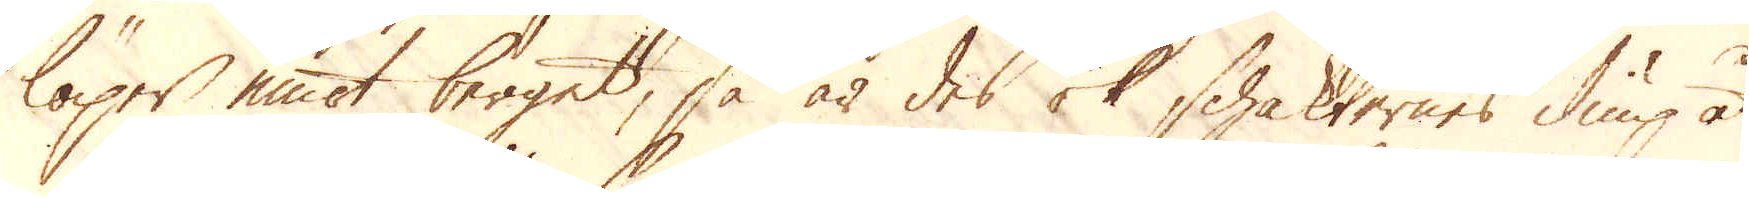löper emot berget, så är des ok schakternes diup åt-
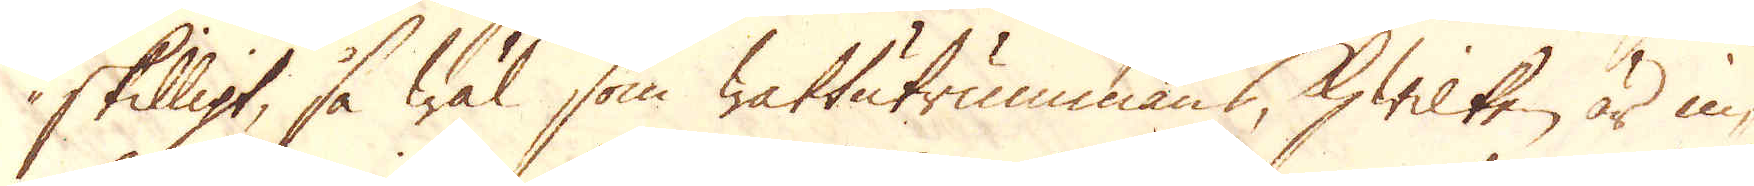skilligt, så wäl som wattutrummans, hwilken är in-
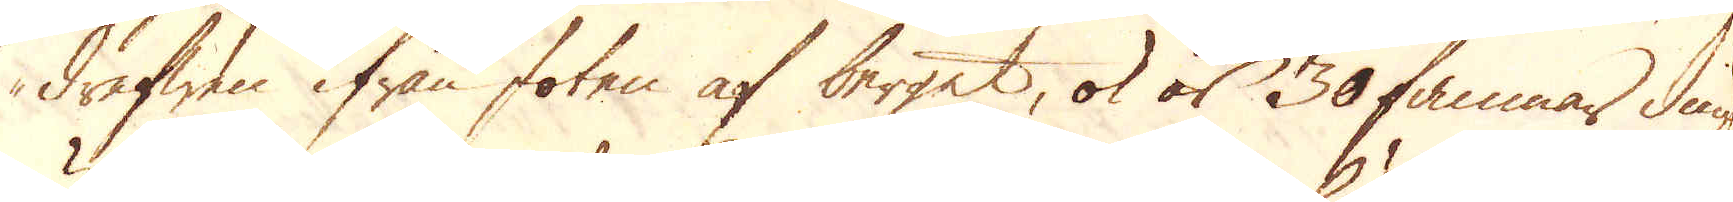drefwen ifrån foten af berget, ok är 30 famnar diup
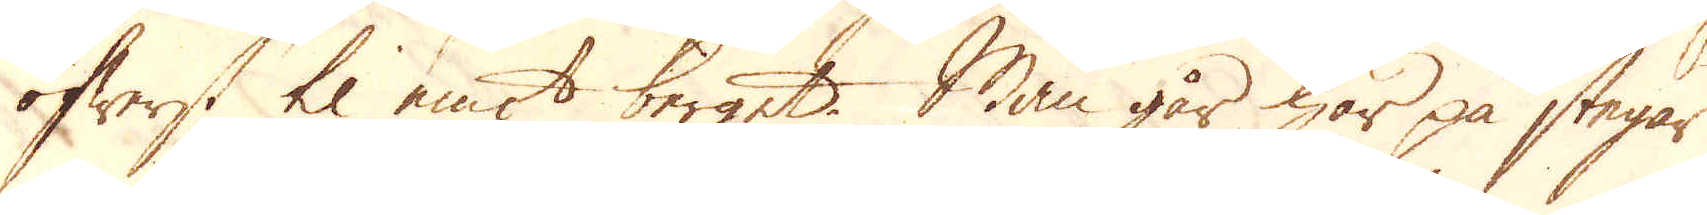öfwerst til emot berget. Man går här på stegar
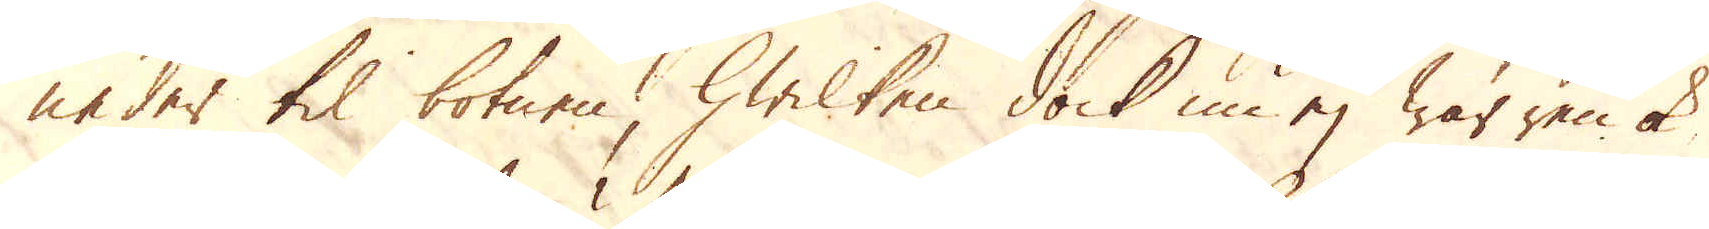neder til botnen, hwilken dock nu ej war ren ok
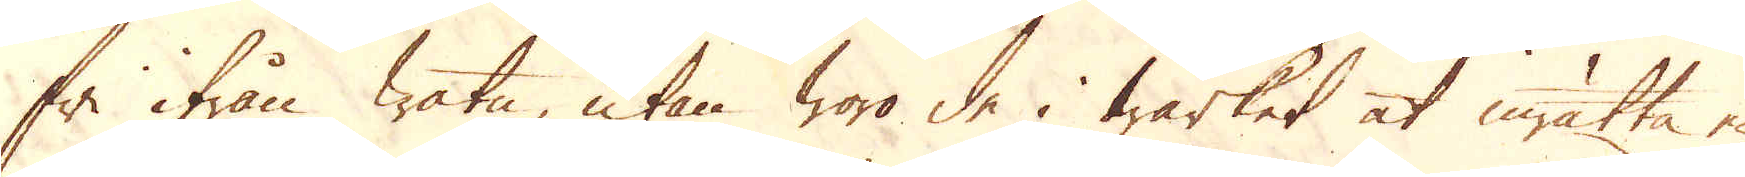fri ifrån watn, utan woro de i wärket at inrätta en
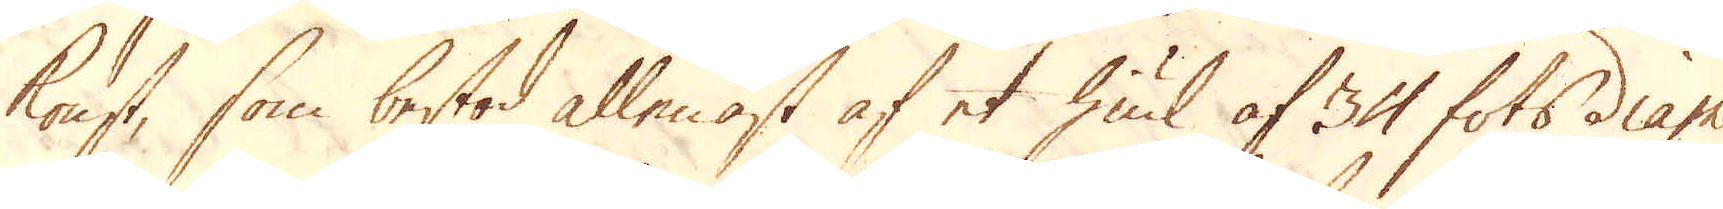konst, som bestod allenast af et hiul af 34 fots diame-
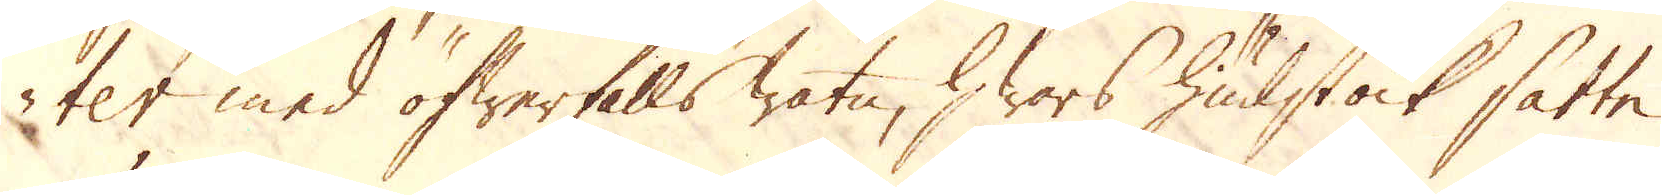ter med öfwerfalls watn, hwars hiulet ock satte
